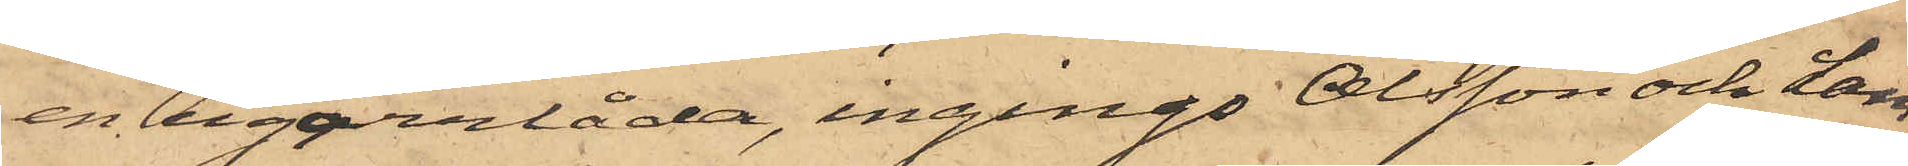en cigarrlåda, ingingo Olsson och Lam¬
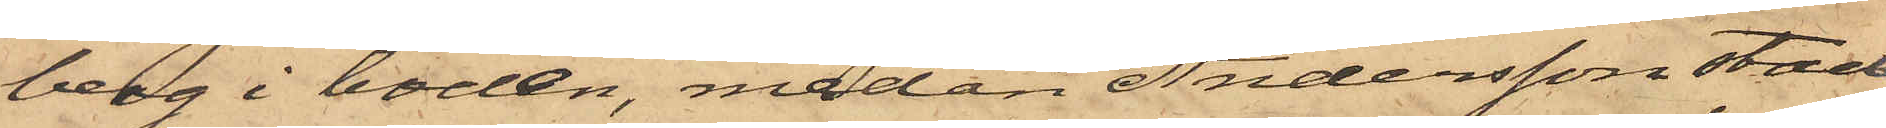berg i boden, medan Andersson stad¬
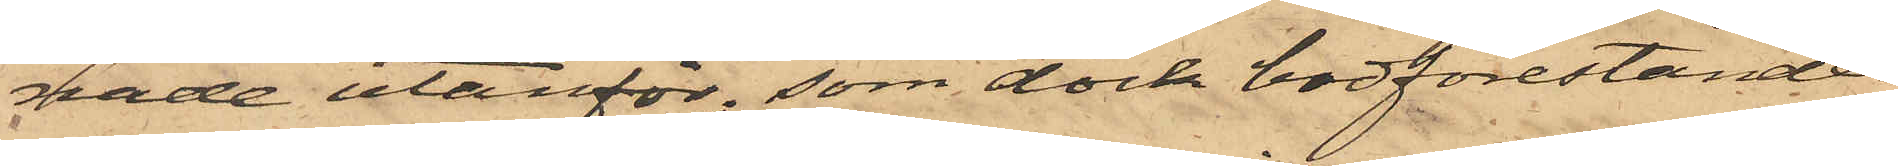nade utanför; som dock bodförestånder¬
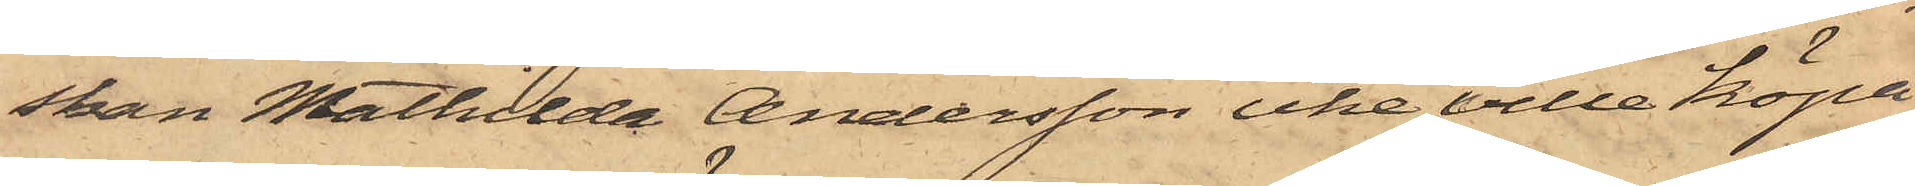skan Mathilda Andersson icke ville köpa
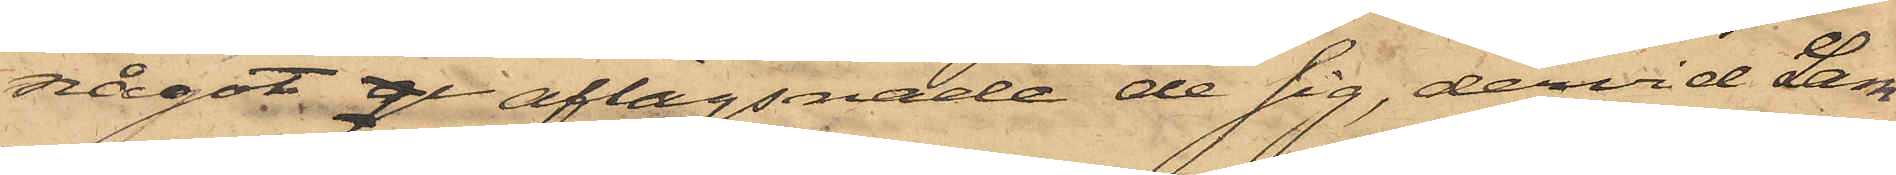något gi aflägsnade de sig, dervid Lam¬
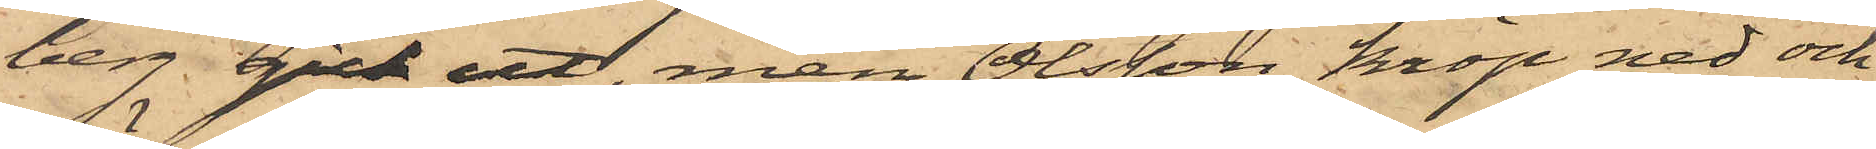berg gick ut, men Olsson kröp ned och
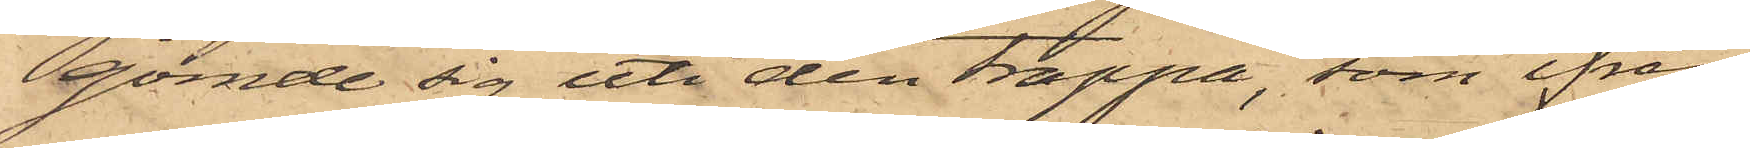gömde sig uti den trappa, som ifrån
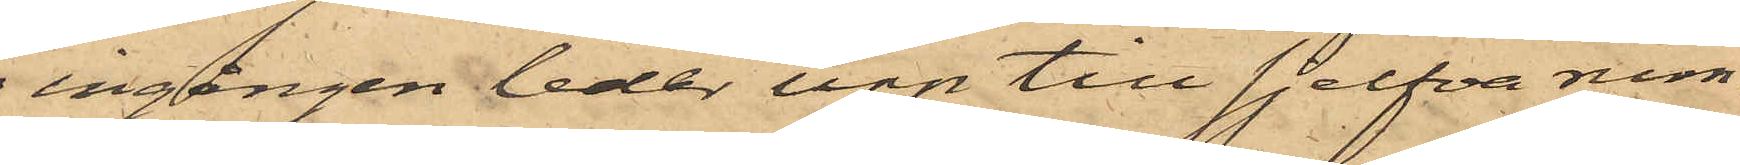ingången leder upp till sjelfva rum¬
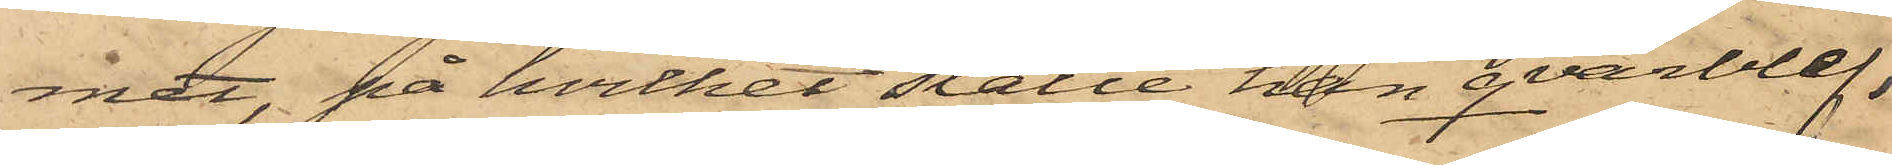met, på hvilket ställe han qvarblef,
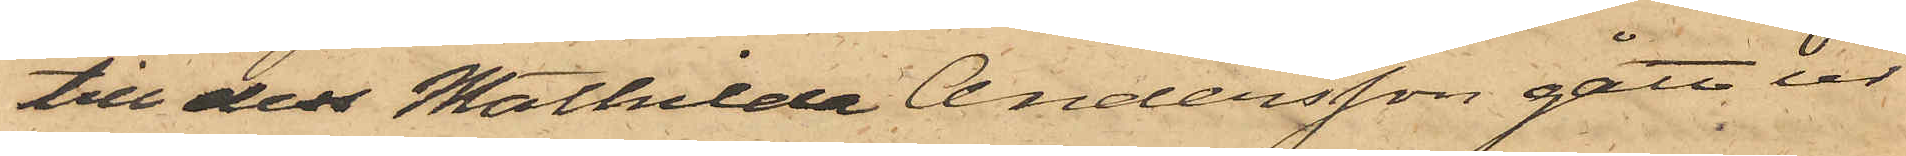till dess Mathilda Andersson gått ur
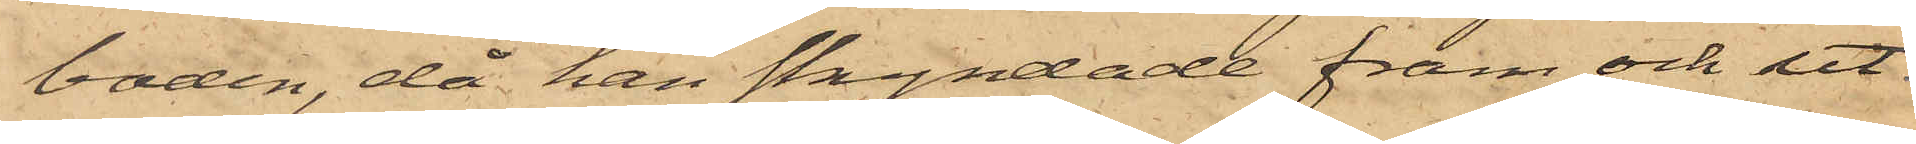boden, då han skyndade fram och ut¬
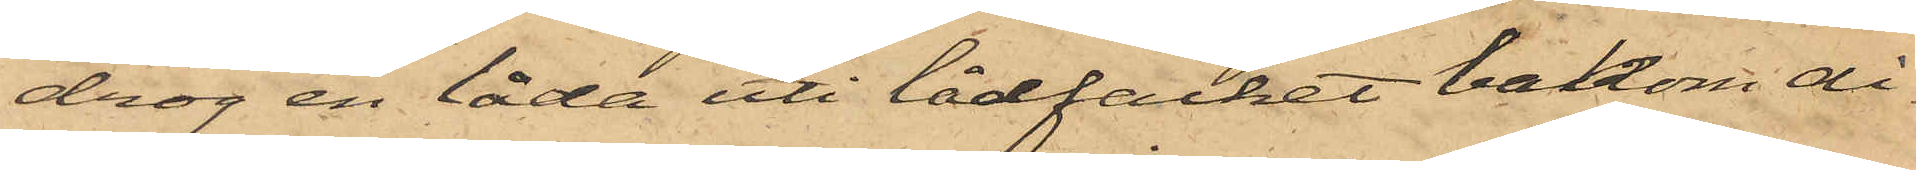drog en låda uti lådfacket bakom di¬
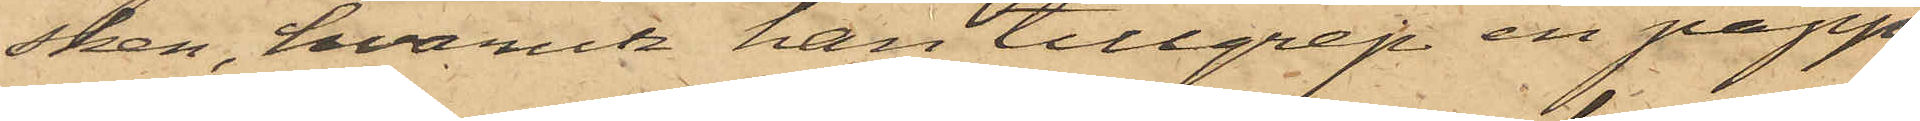sken, hvarest han tillgrep en papp¬
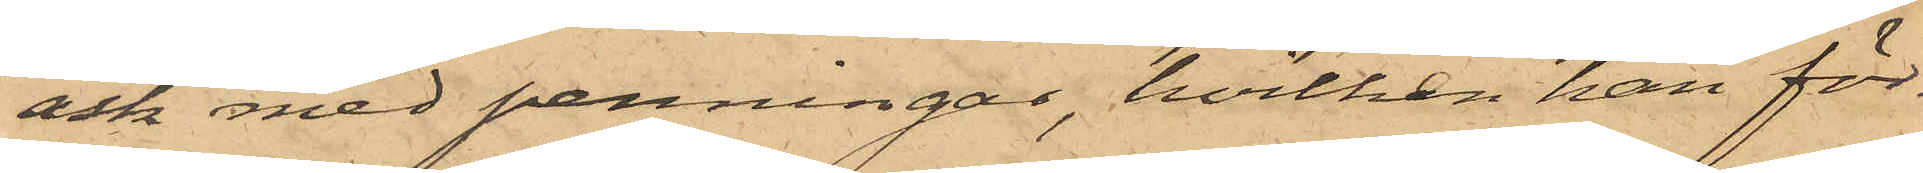ask med penningar, hvilken han för¬
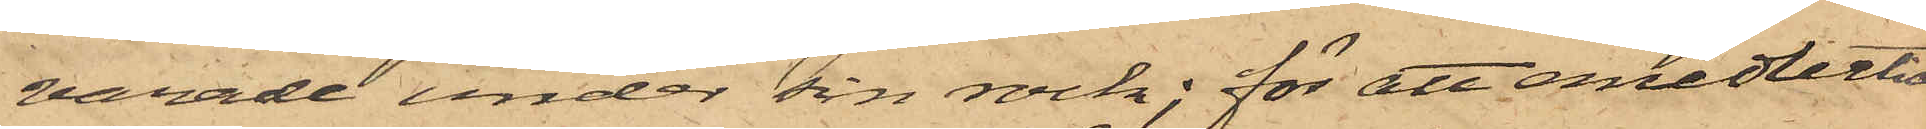varade under sin rock; för att emedlertid
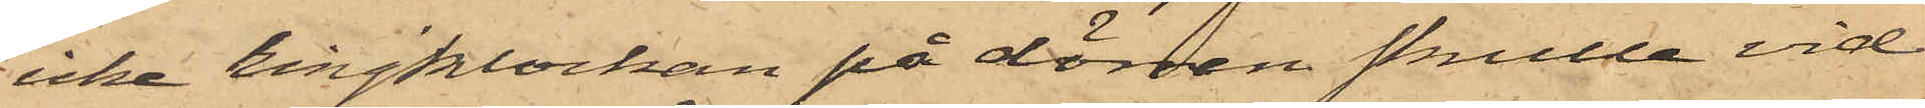icke ringklockan på dörren skulle vid
